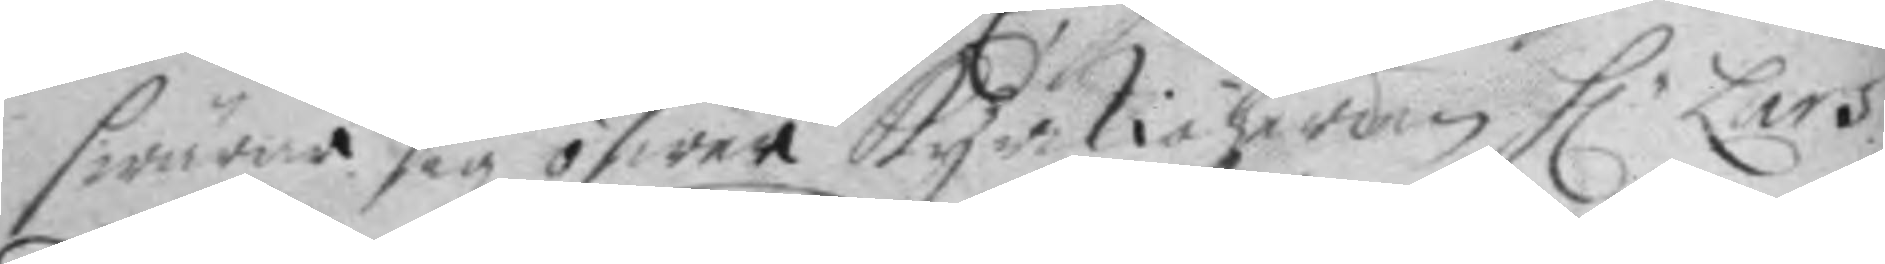swärar sig öfwer kyrkioherden h.r Lars
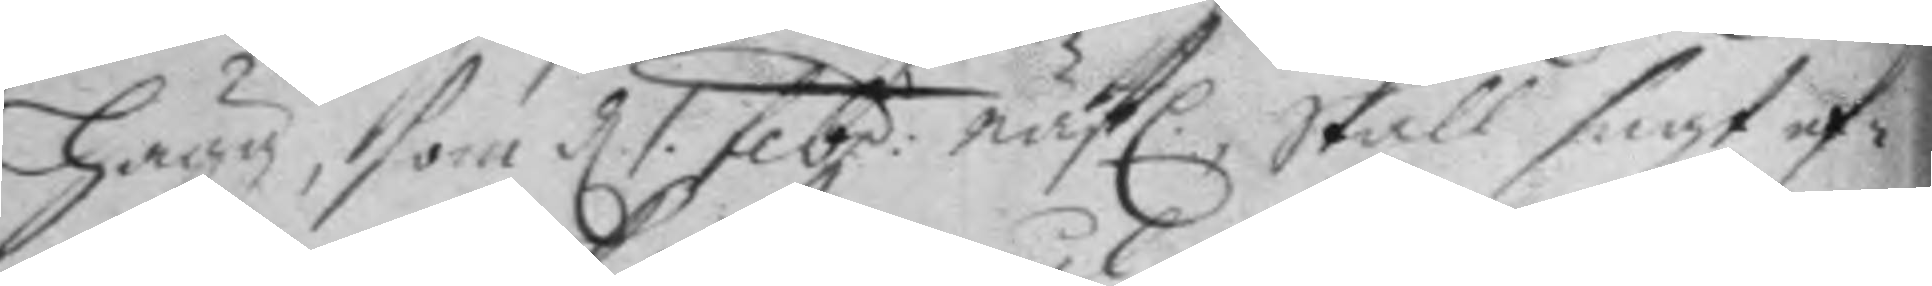Hägg, som d. 1 febr. nästl. skall sagt ef¬
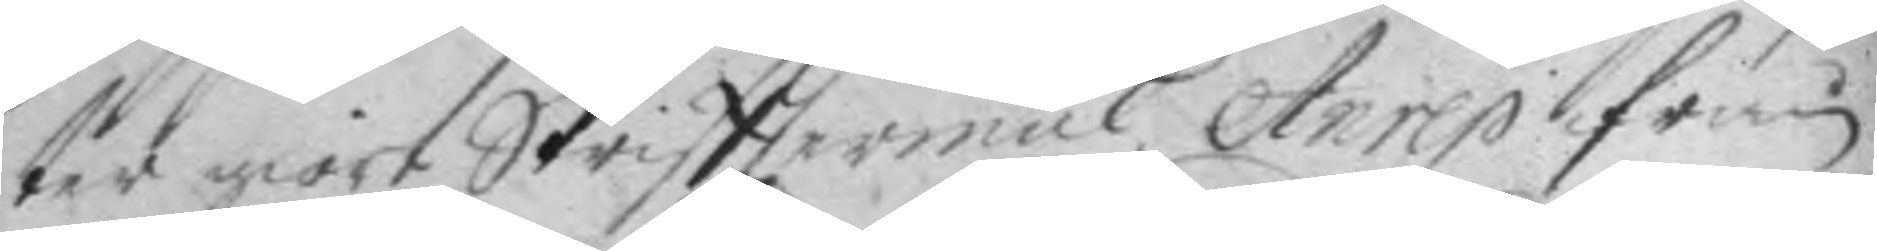ter giort Skrifttermål, Anrep ifrån
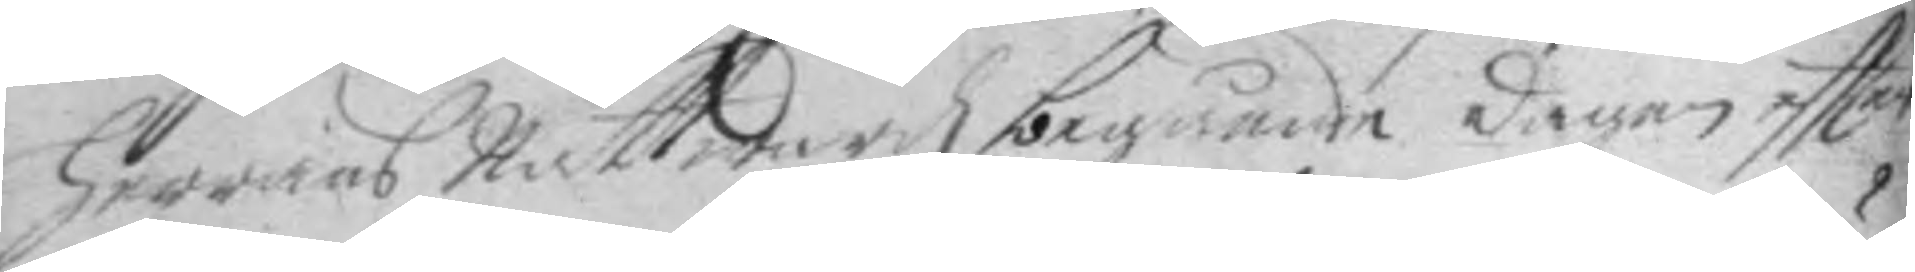herrans nattwardz begående dagen eftter
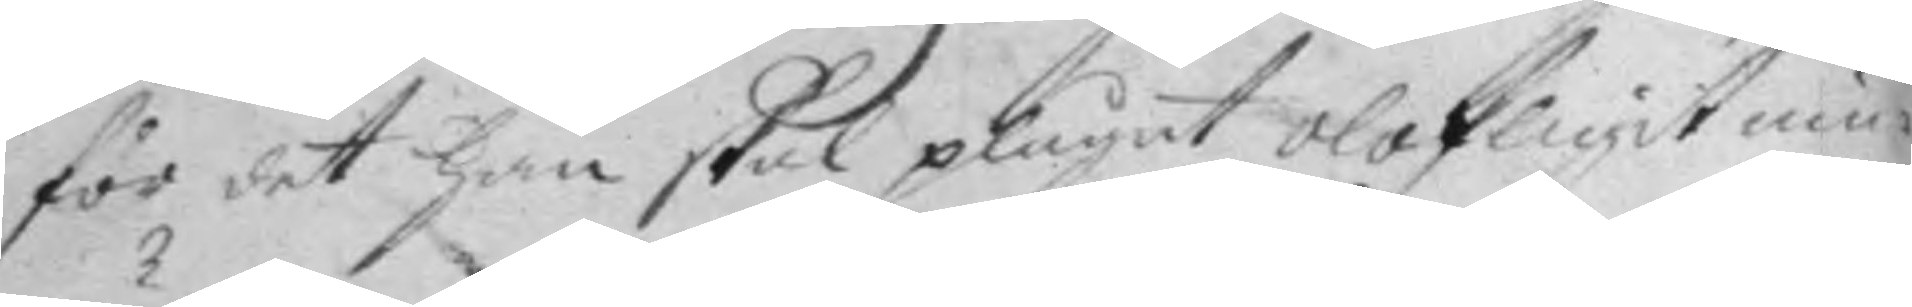för det han skal plägat olofligit um¬
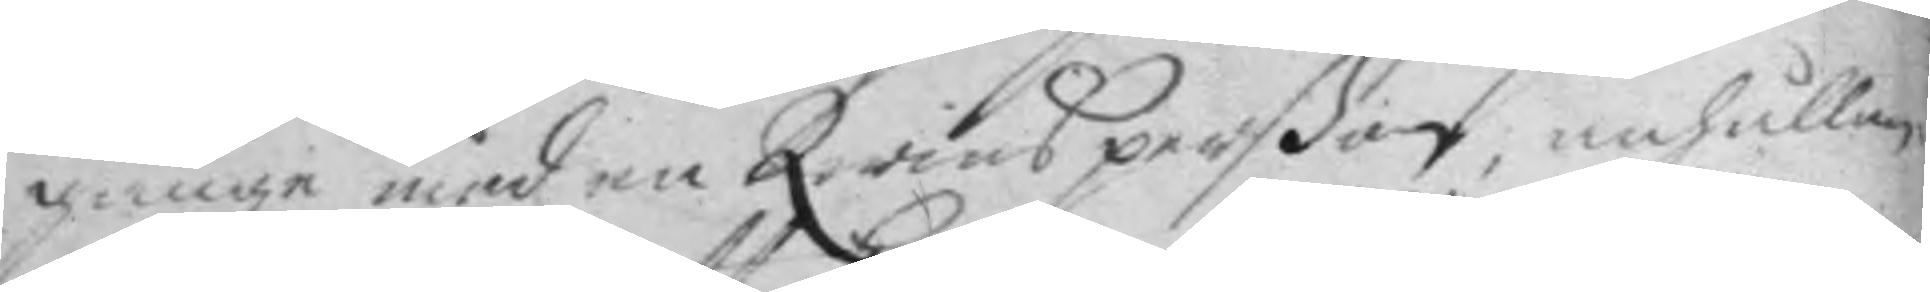gånge med en Qwinsperßon, anhållan¬
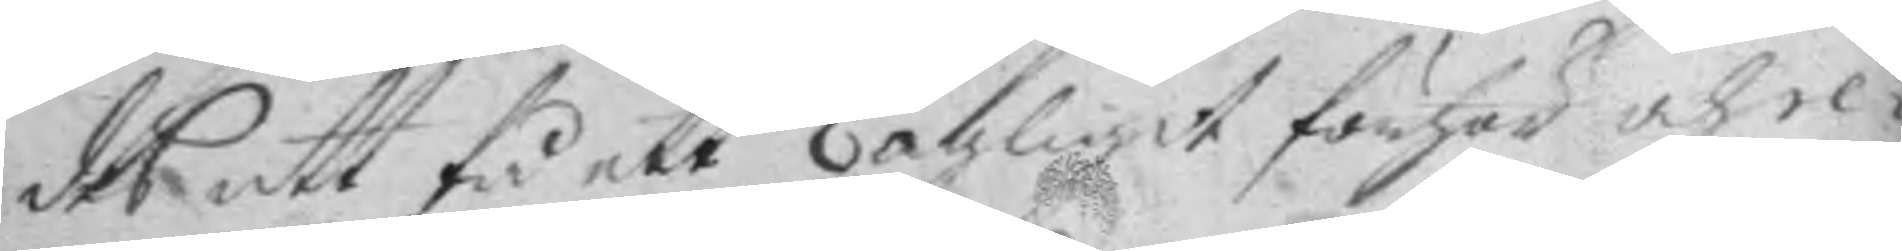des att få ett lagligit förhör och re¬
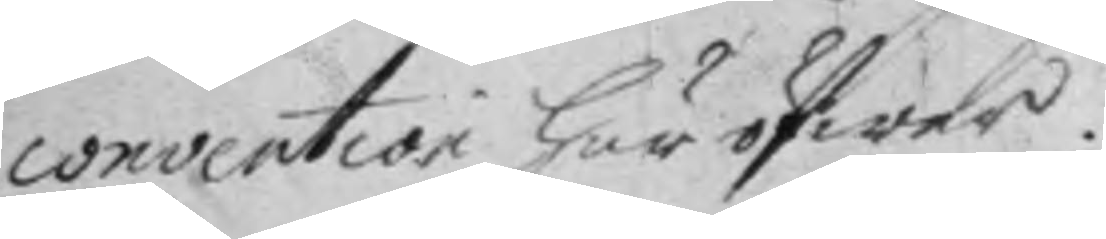convention här öfwer.
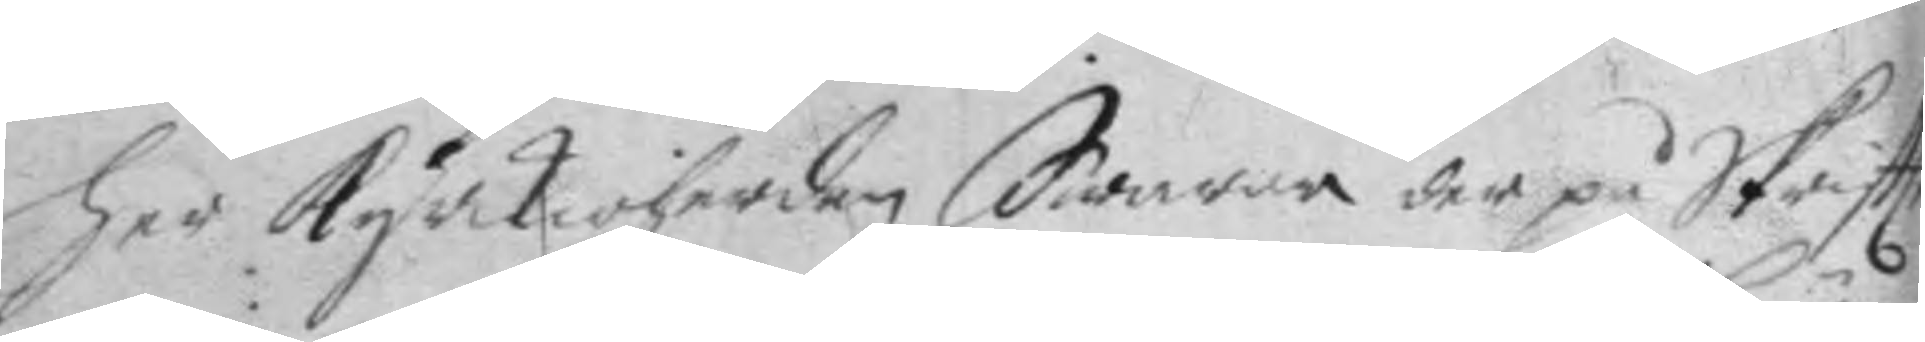her kyrkioherden Swarar der på Skriftt¬
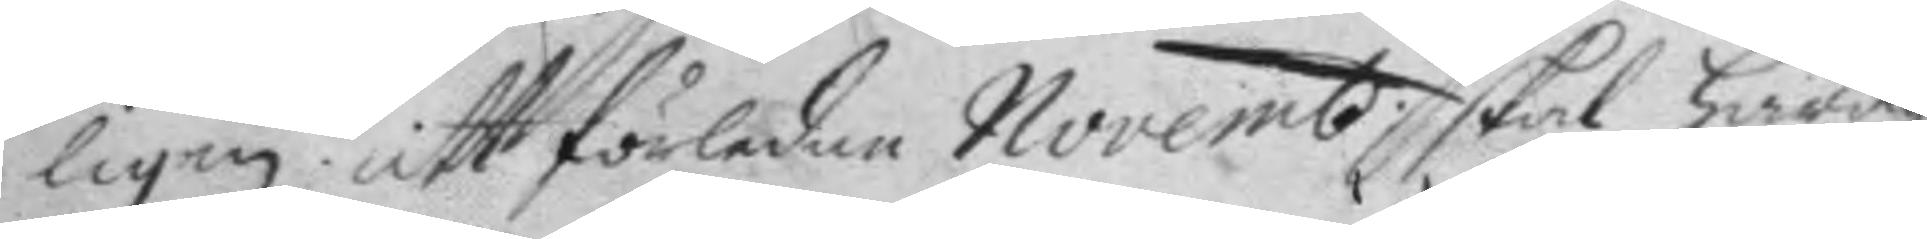ligen att förledne Novemb. skal häradz¬
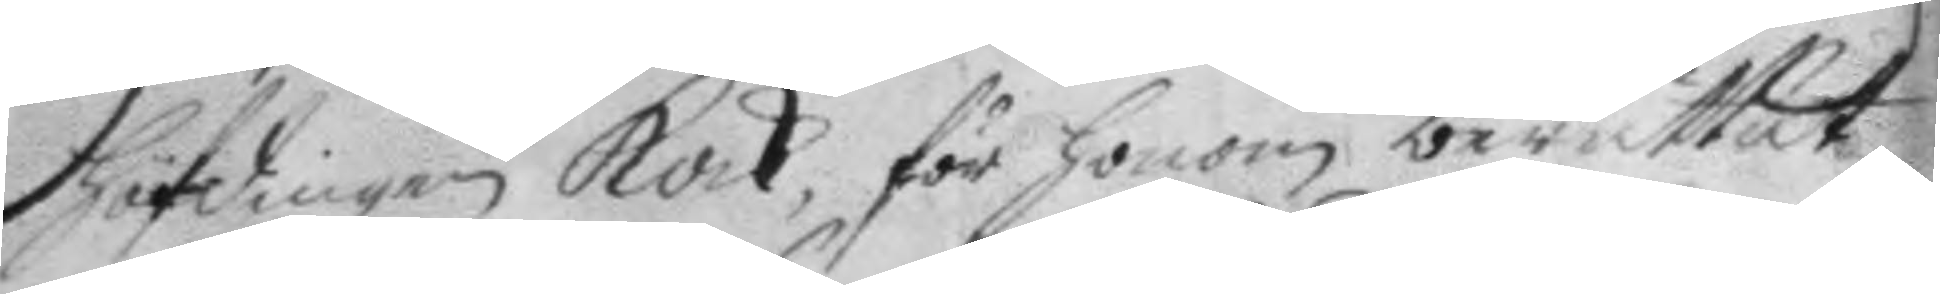höfdingen Kock, för honom berättat,
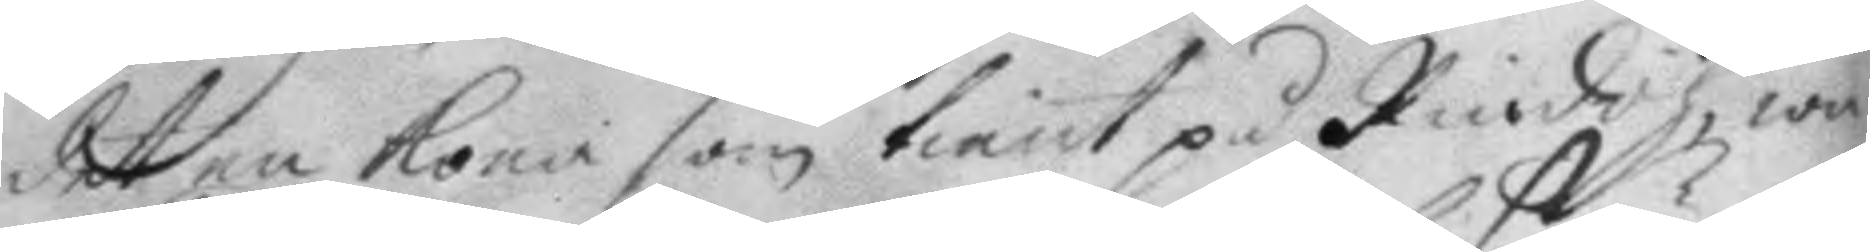det en kona som tient på Rindöh wa¬
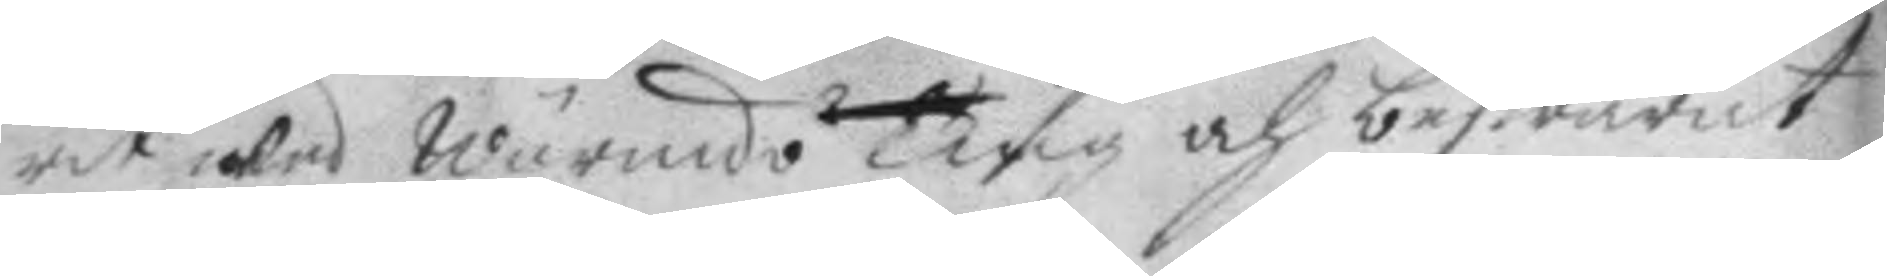rit wed Wärmdö ting och beswärat
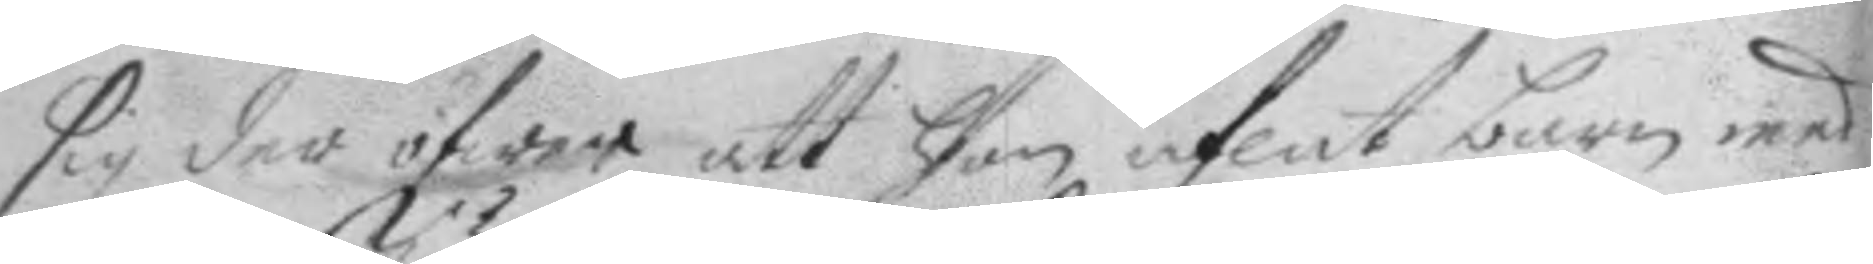sig der öfwer att hon aflat barn med
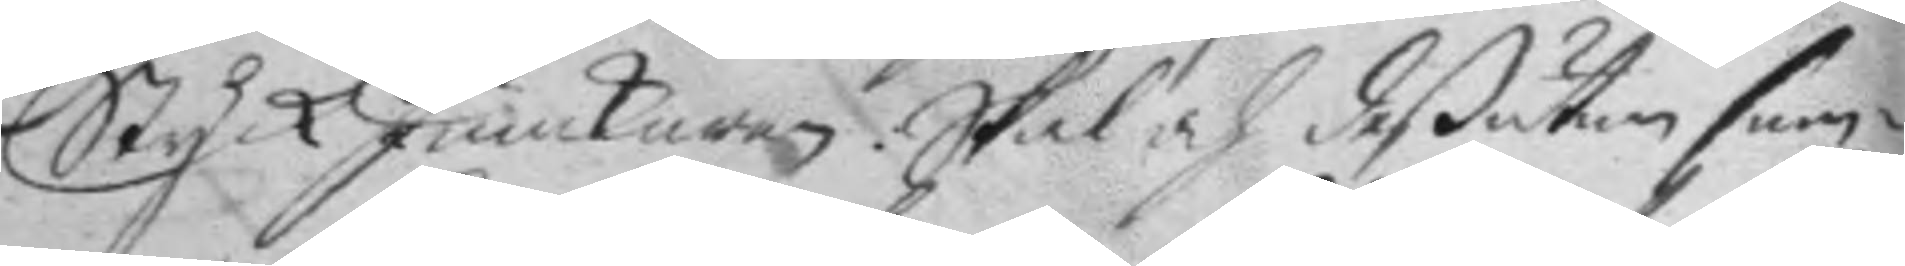Styck Junckaren. Skal och deßutan sam¬
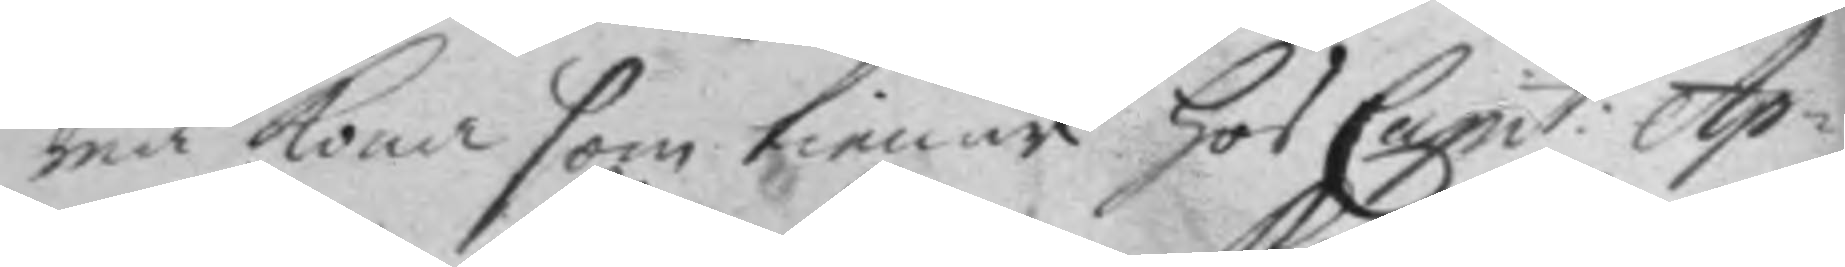ma kona som tienar hos Capit: Ap¬
